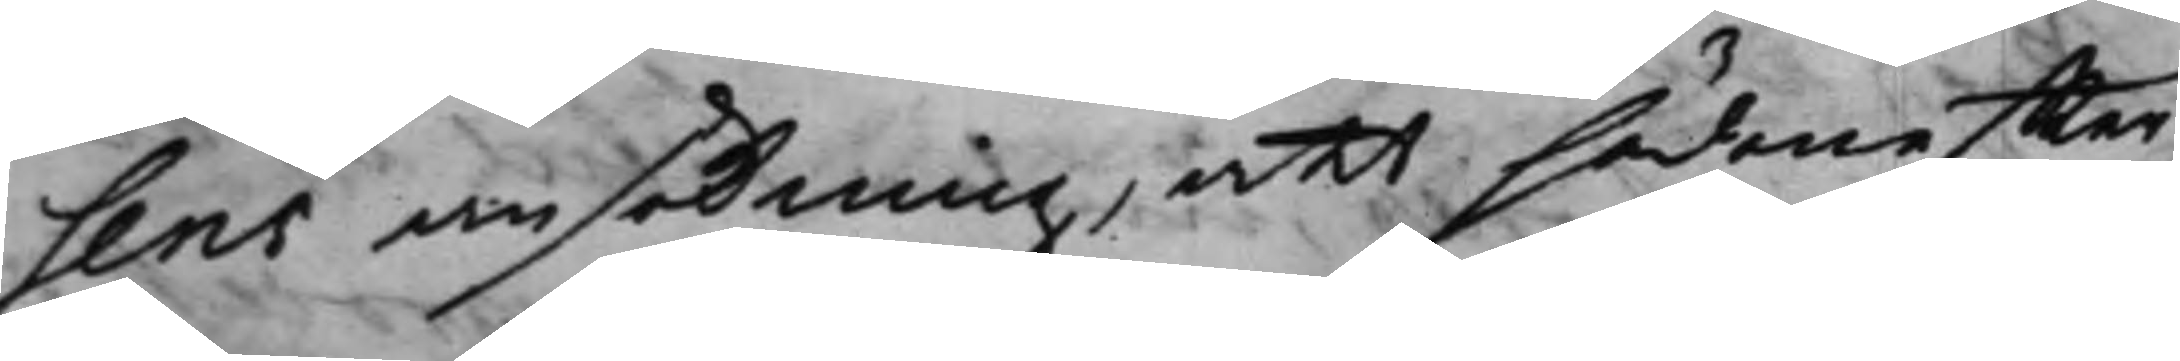sens ansökning, att sädaneffter
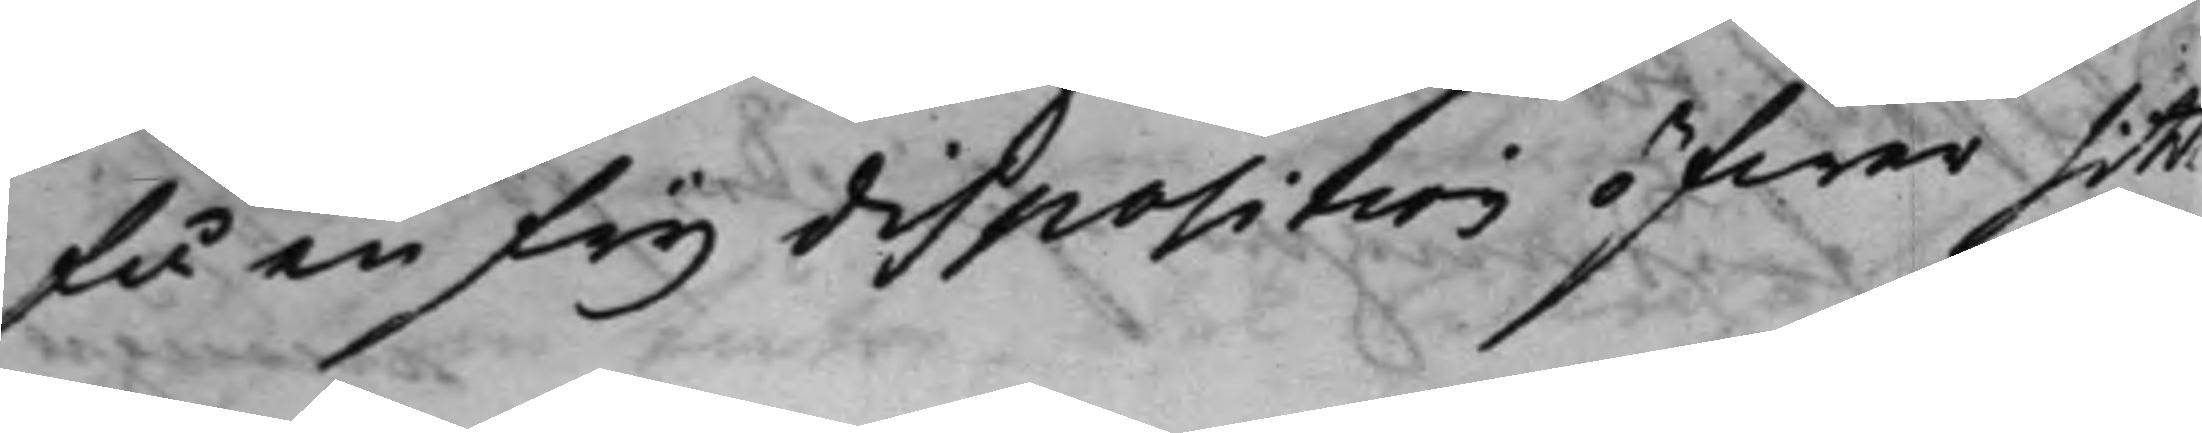få en frij disposition öfwer sitt
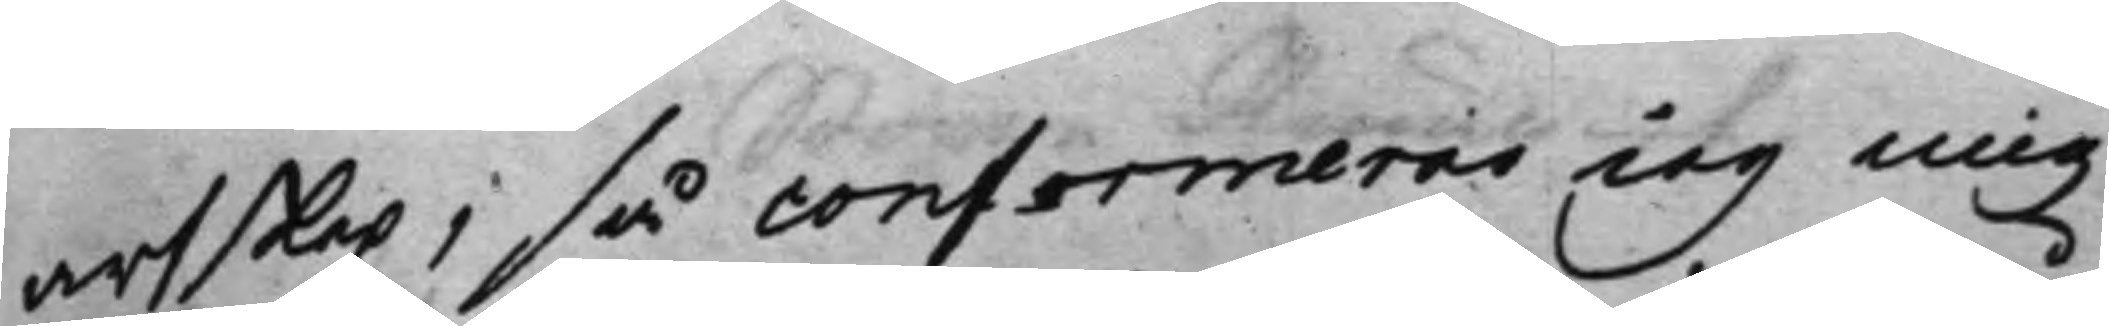arfskap; så conformeras iag mig
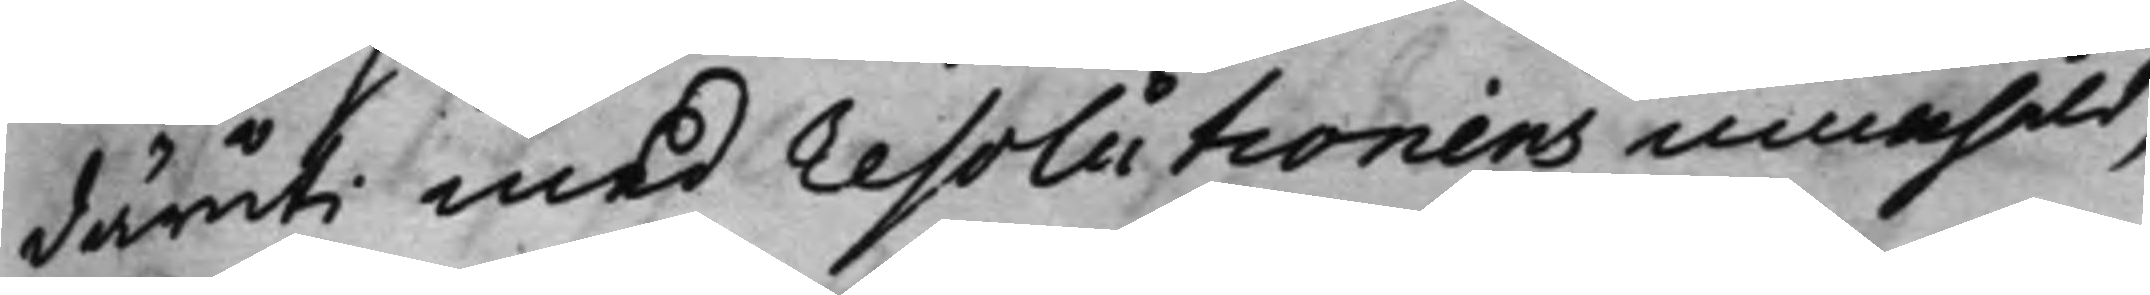däruti med Resolutionens innehåld,
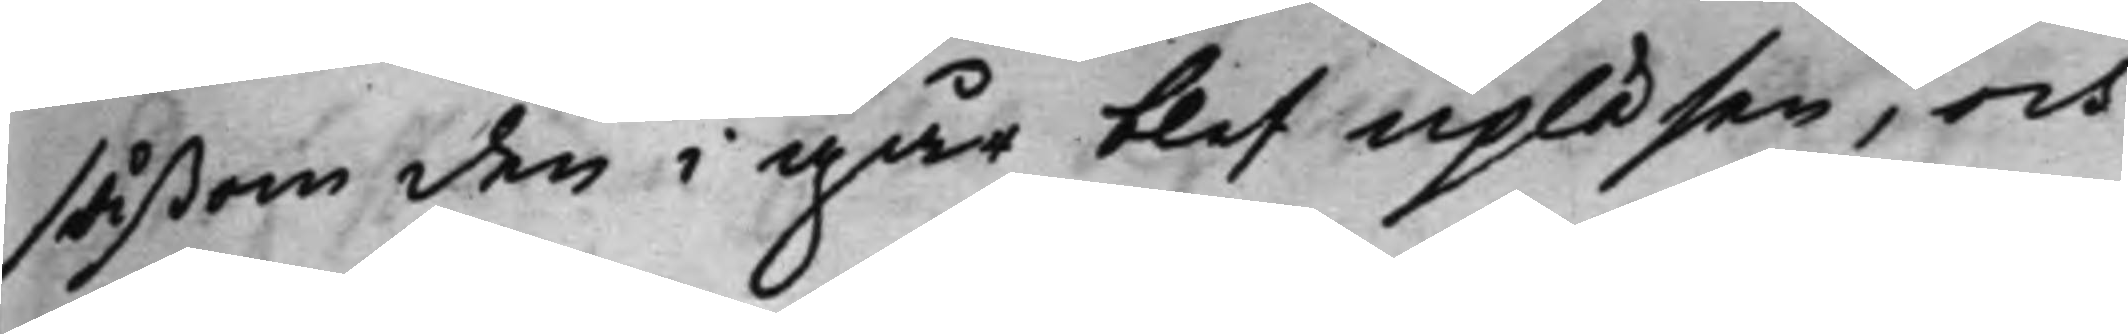såßom den i går blef upläsen, och
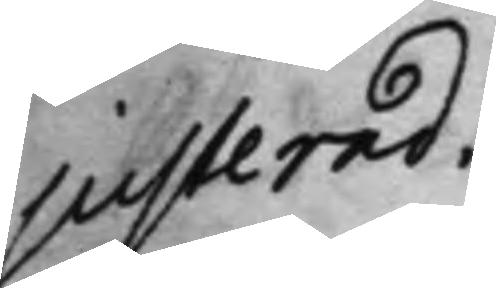justerad.
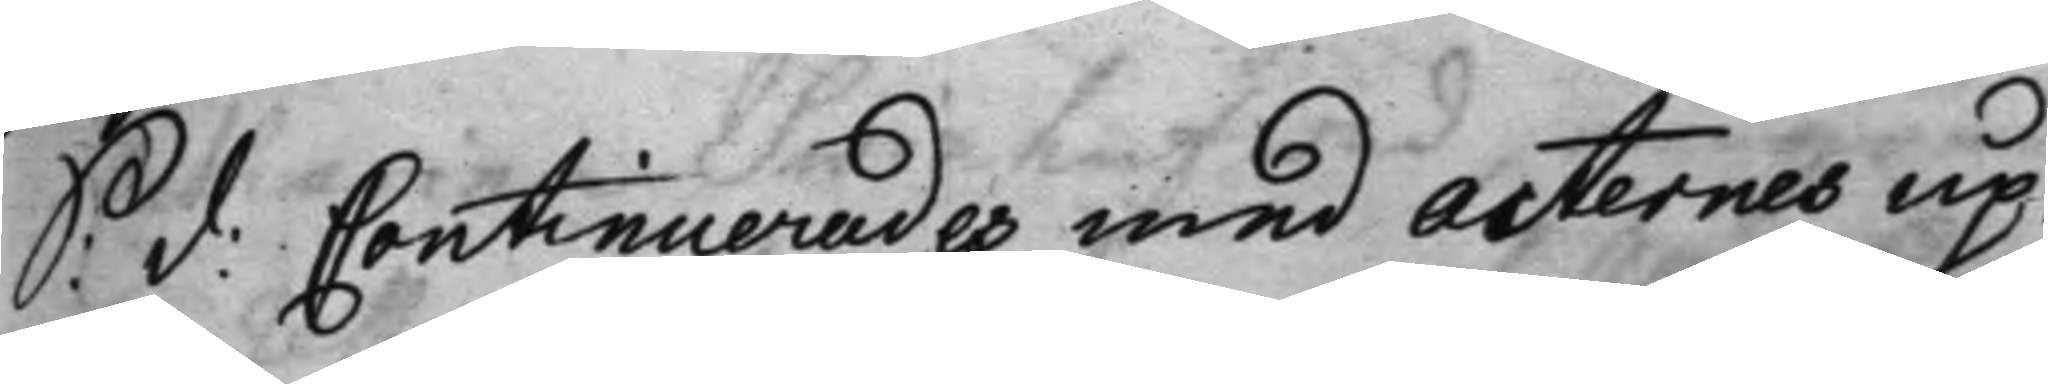S: d: Cantinuerades med acternes up¬
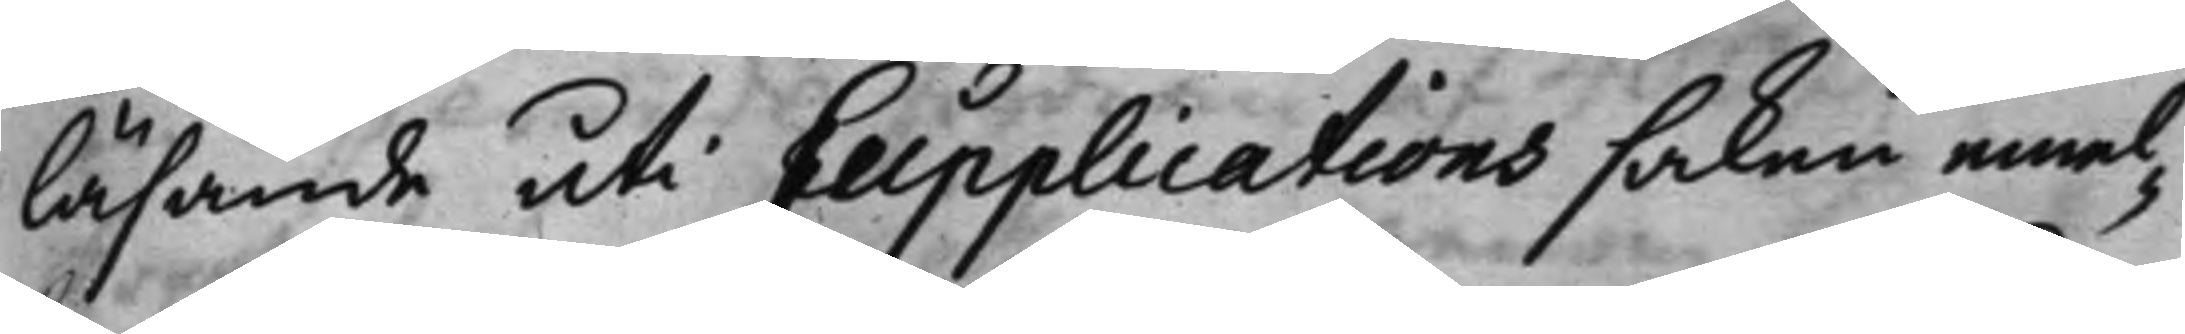läsande uti Supplications saken emel¬
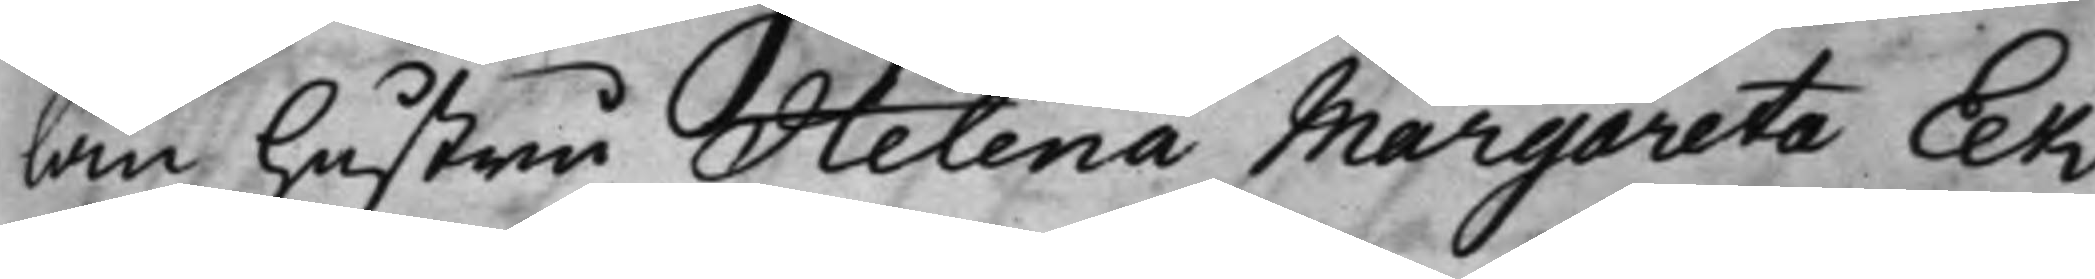lan hustru Helena Margareta Ek
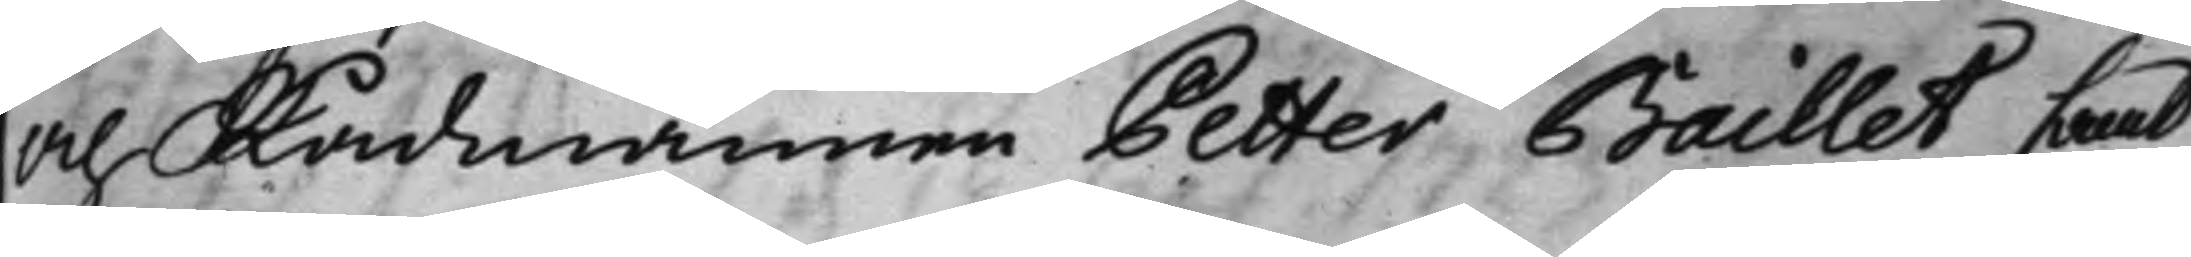och Rådmannen Petter Baillet, samt
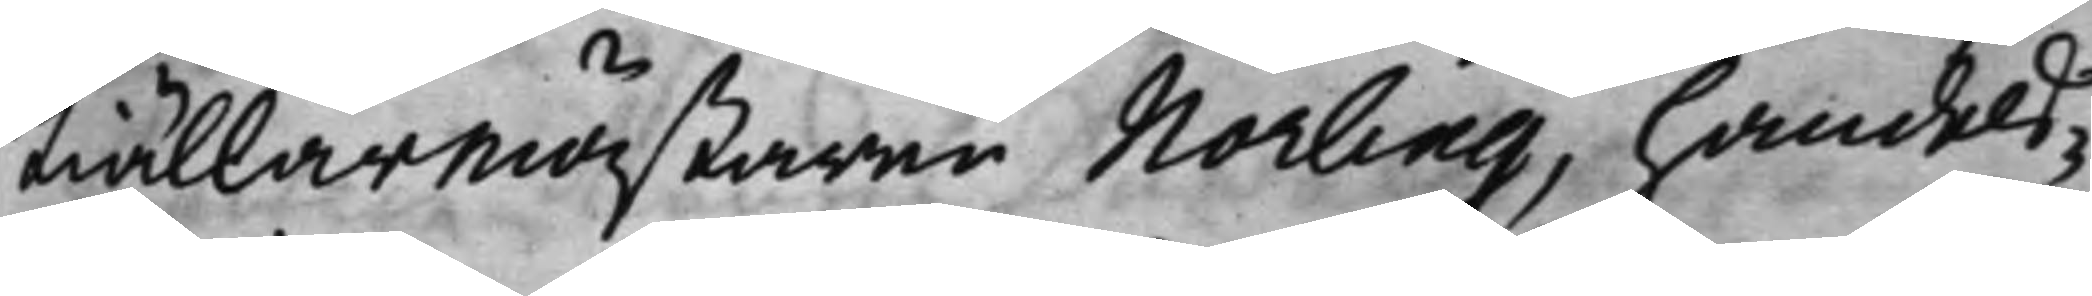Kiällarmästaren Norling, Handels¬
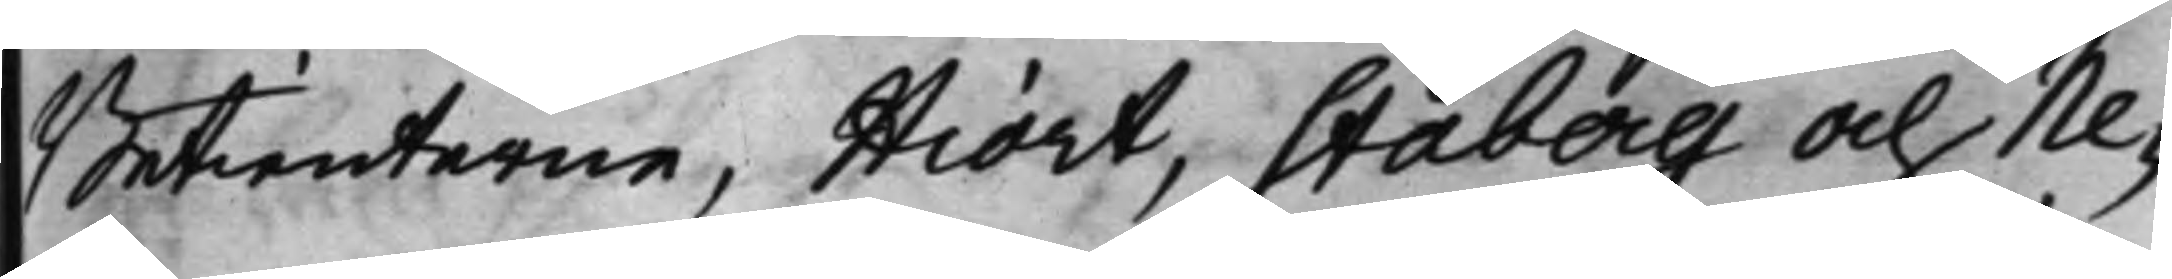Betienterne, Hiort, Staberg och Ne¬
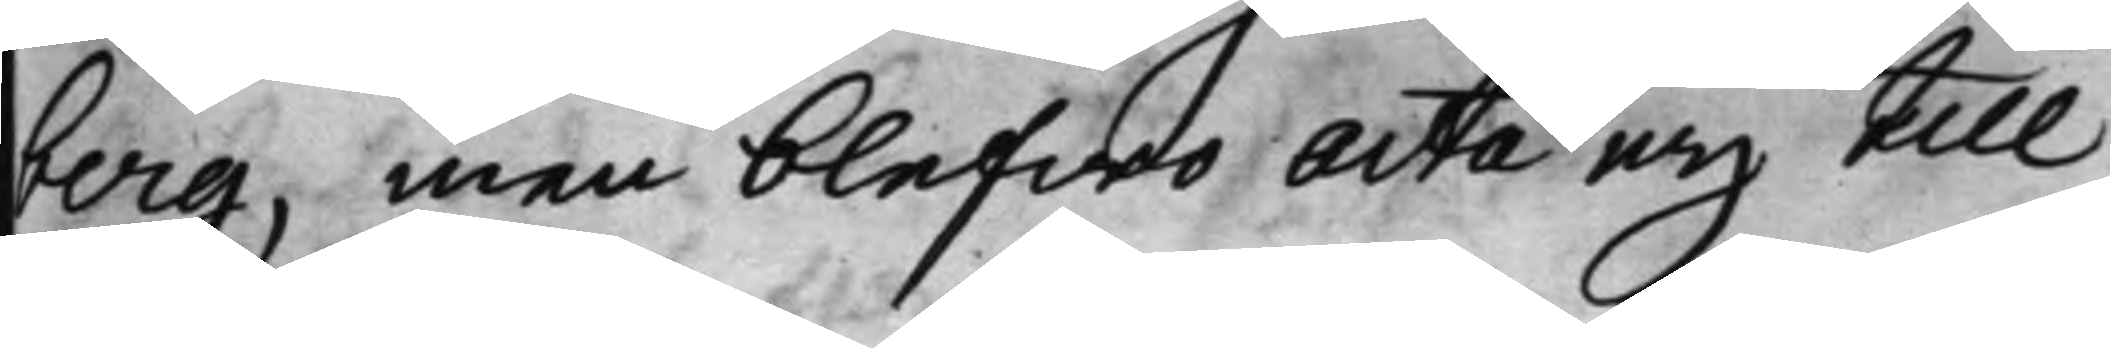berg, men blefwo acta eij till
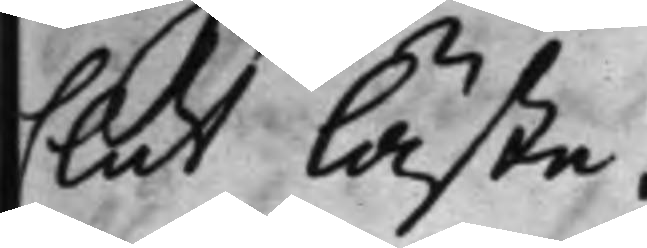slut läste.
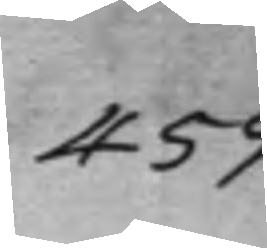459.
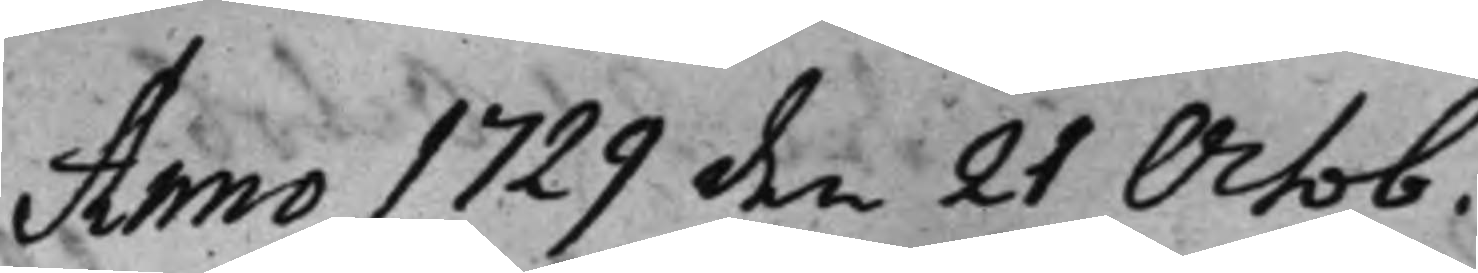Anno 1729 den 21 Octob.
